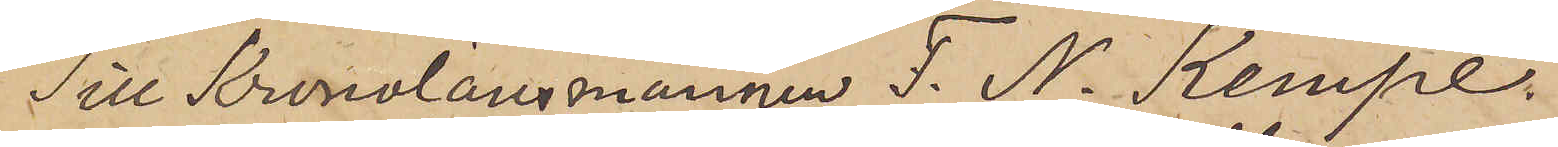Till Kronolänsmannen F. N. Kempe
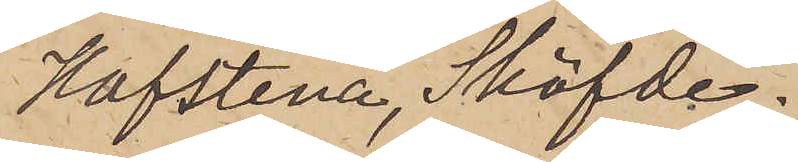Hafstena, Sköfde.
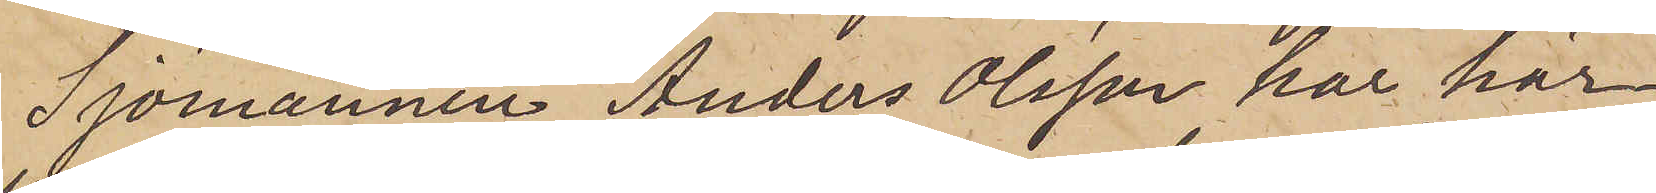Sjömannen Anders Olsson har här¬
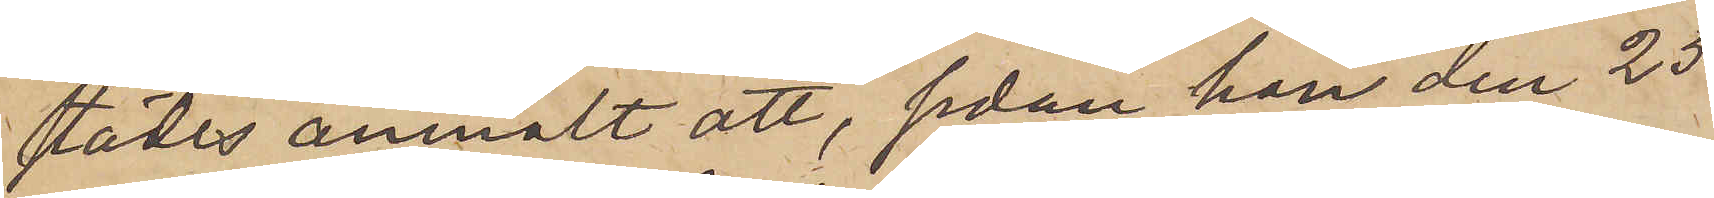städes anmält att, sedan han den 25
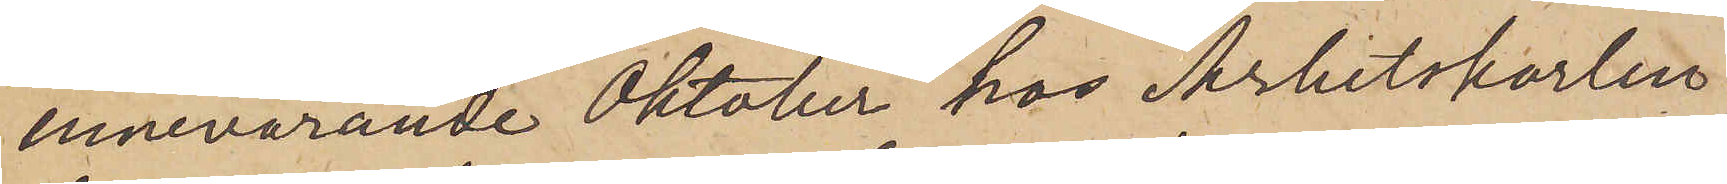innevarande Oktober hos Arbetskarlen
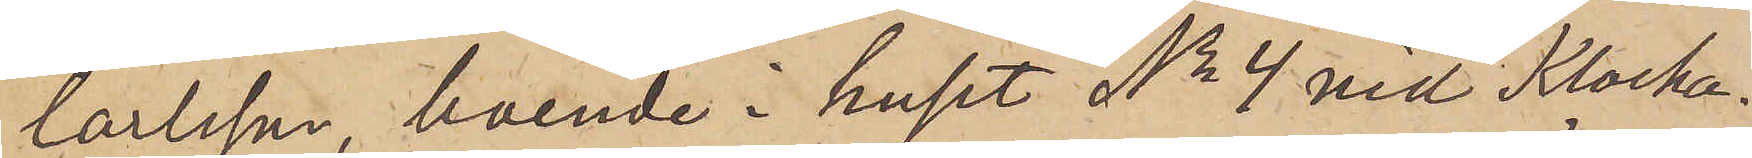Carlsson, boende i huset No 4 vid Klocka¬
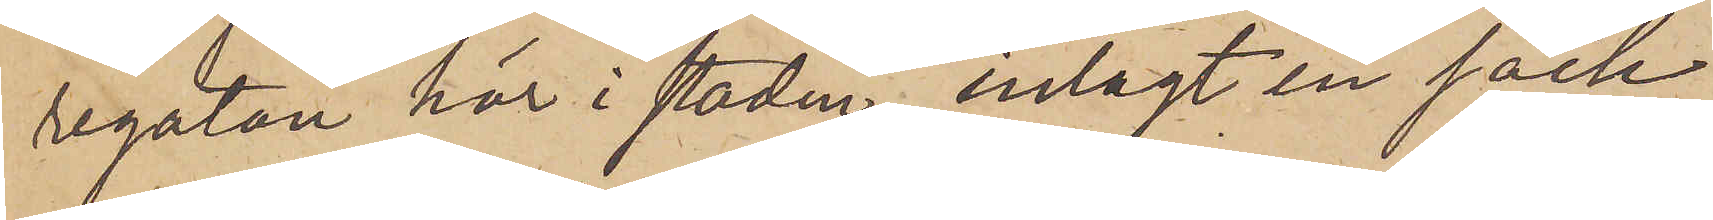regatan här i staden, inlagt en säck
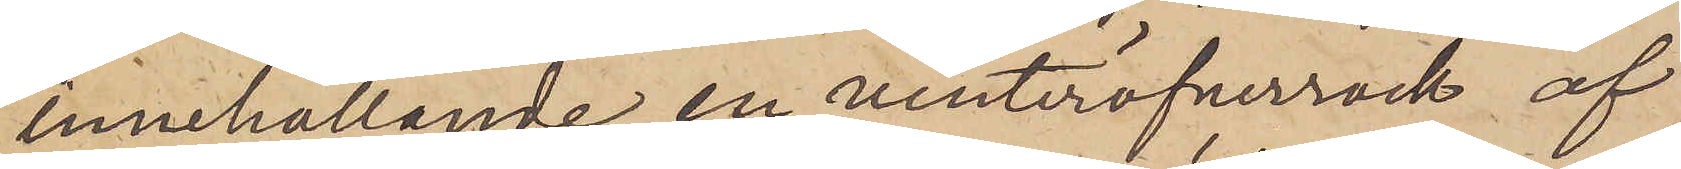innehållande en vinteröfverrock af
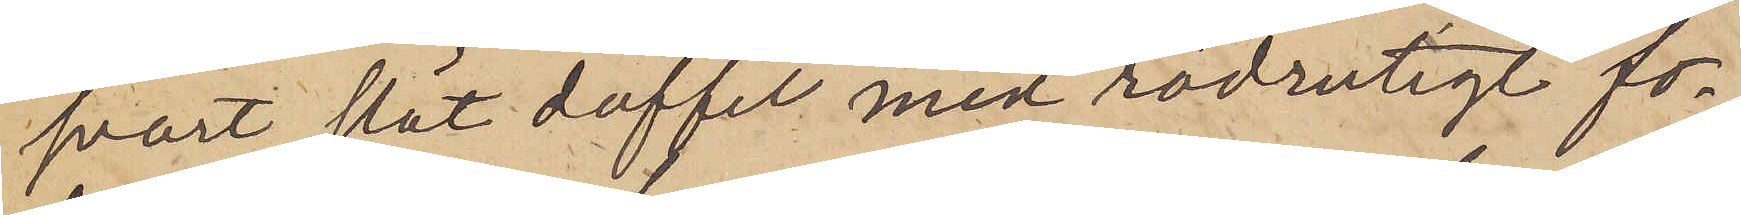svart slät doffel med rödrutigt fo¬
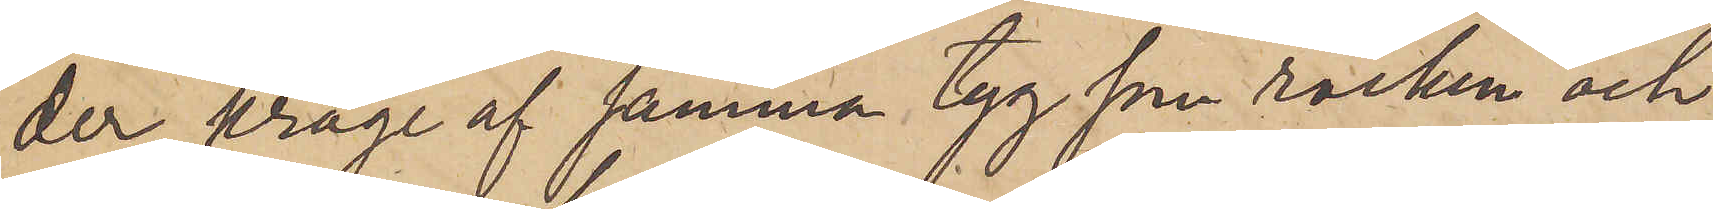der, krage af samma tyg som rocken och
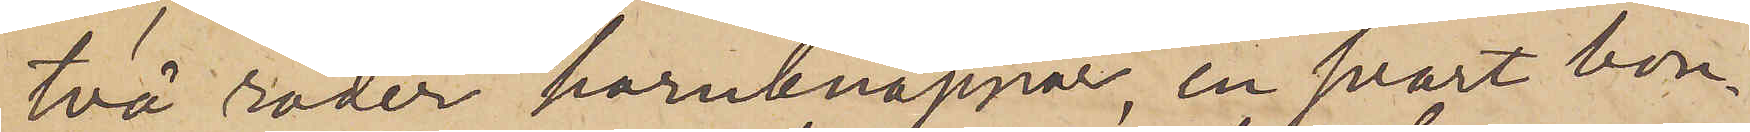två rader hornknappar, en svart bon¬
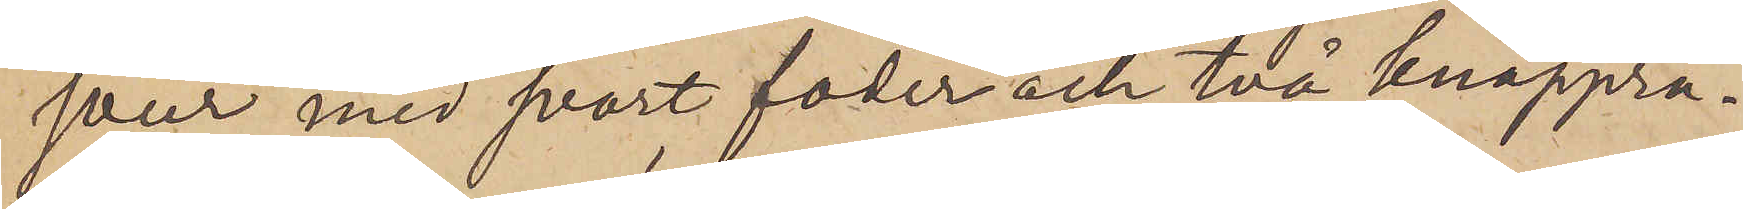jour med svart foder och två knappra¬
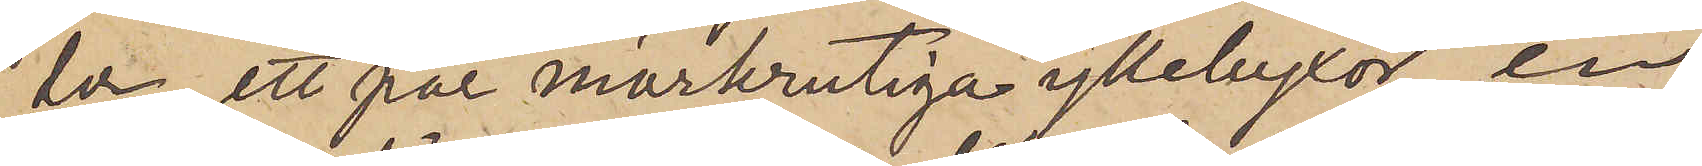er, ett par mörkrutiga yllebyxor, en
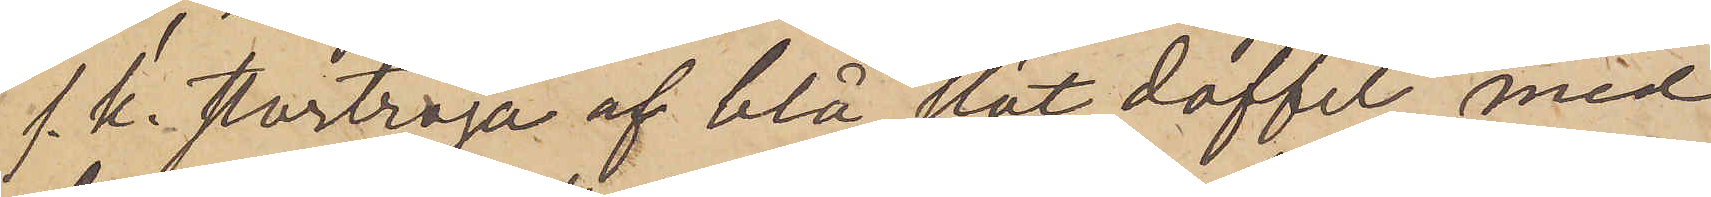s. k. stortröja af blå slät doffel med
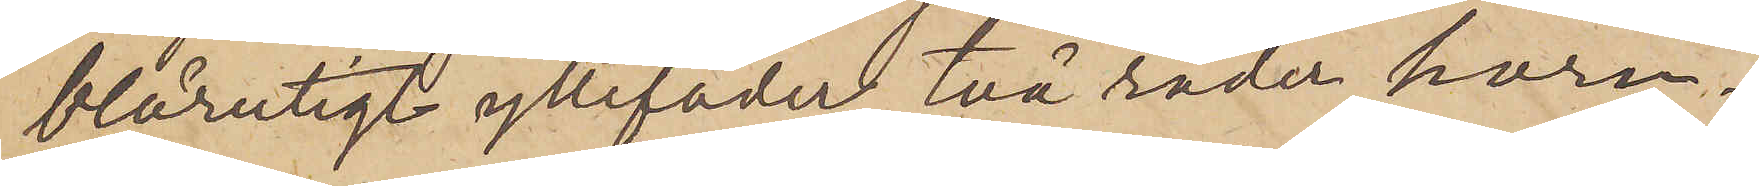blårutigt yllefoder, två rader horn¬
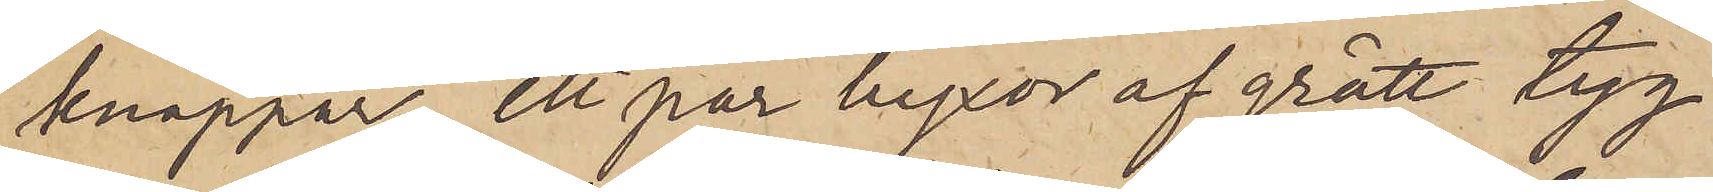knappar, ett par byxor af grått tyg
